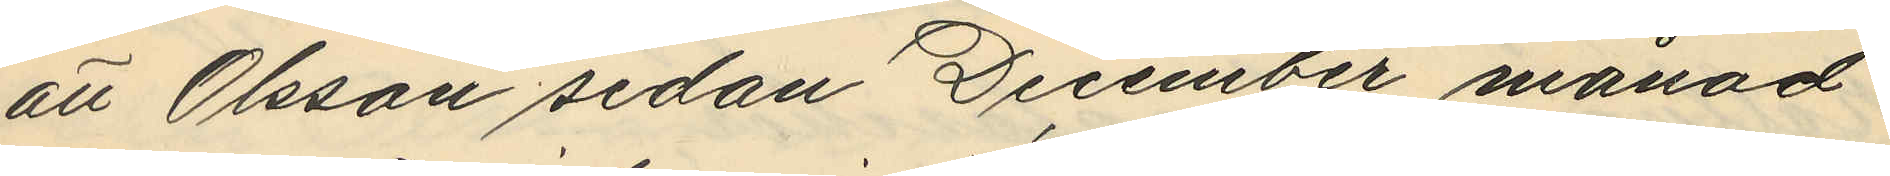att Olsson sedan December månad
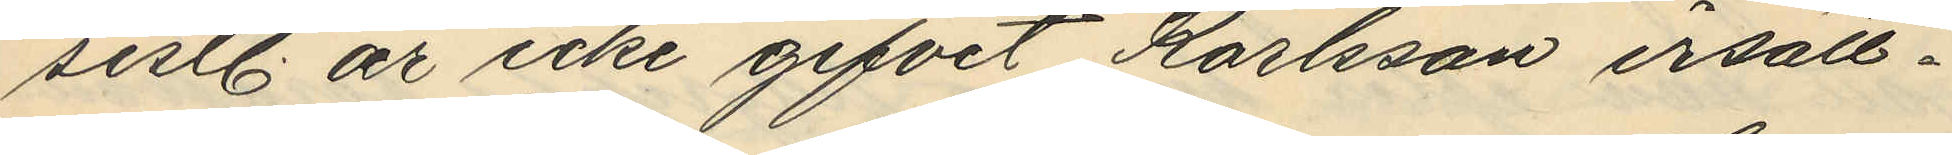sistl. år icke gifvet Karlsson ersätt¬
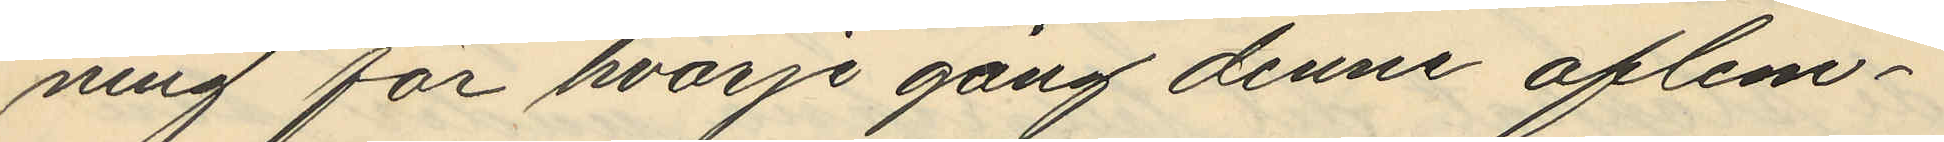ning för hvarje gång denne aflem¬
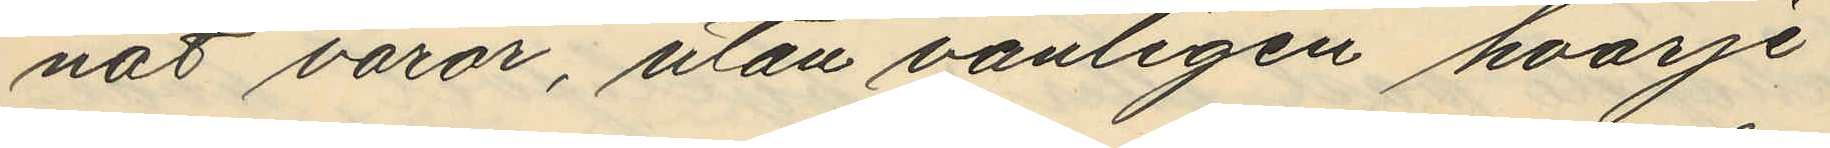nat varor, utan vanligen hvarje
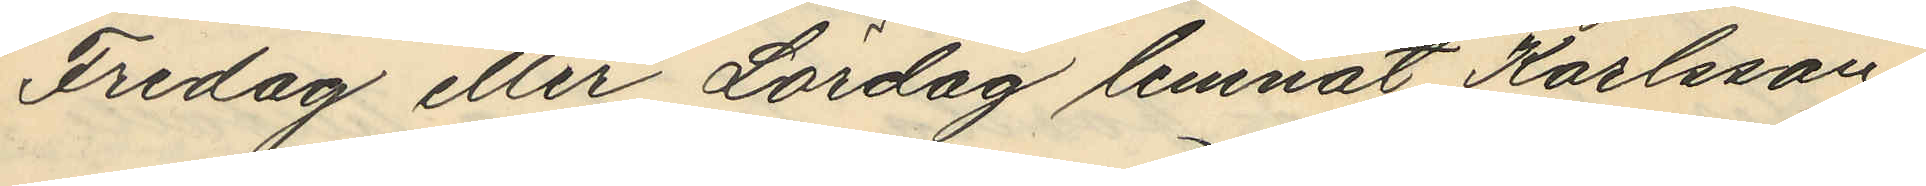Fredag eller Lördag lemnat Karlsson
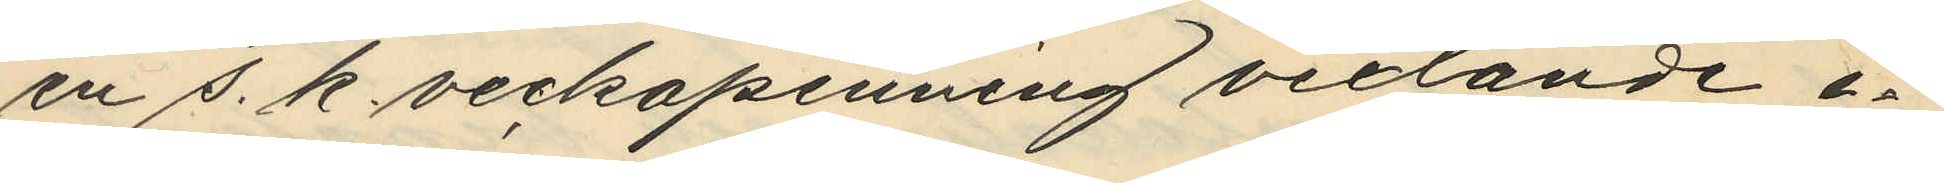en s. k. veckopenning vexlande i¬
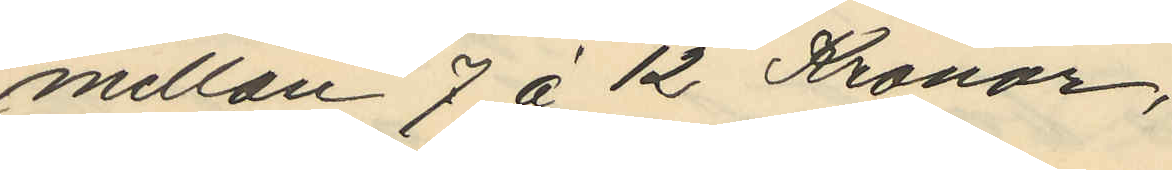mellan 7 á 12 Kronor,
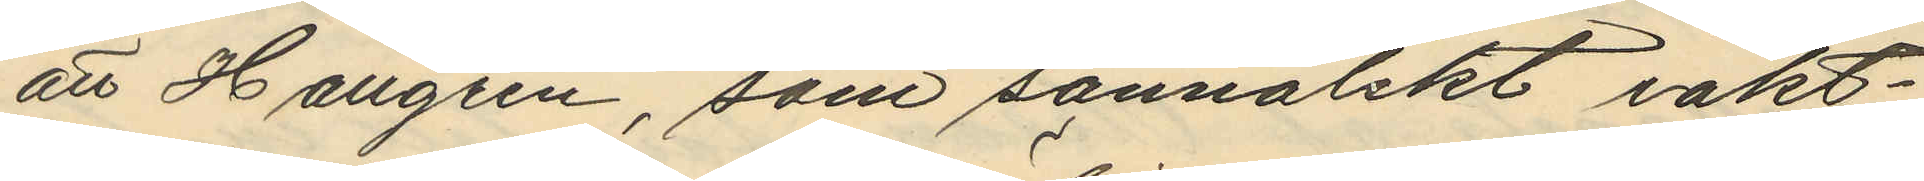att Hallgren, som sannolikt iakt¬
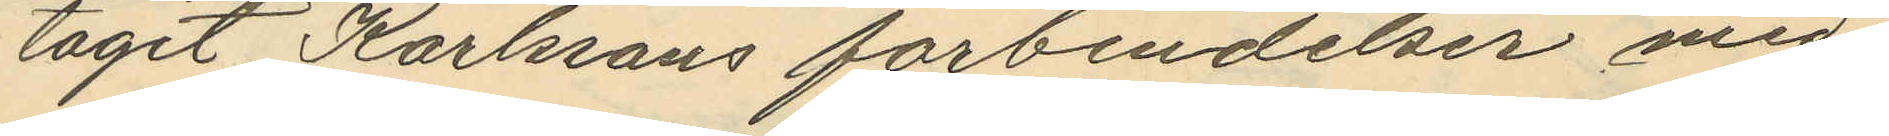tagit Karlssons förbindelser med
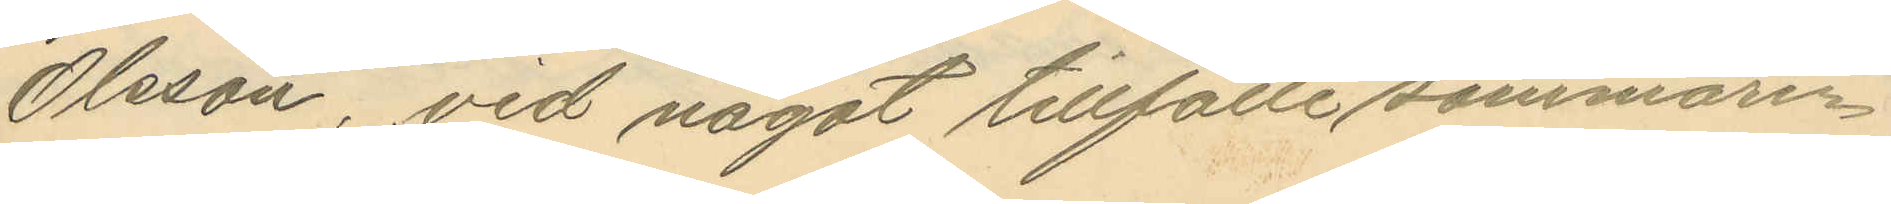Olsson, vid något tillfälle sommaren
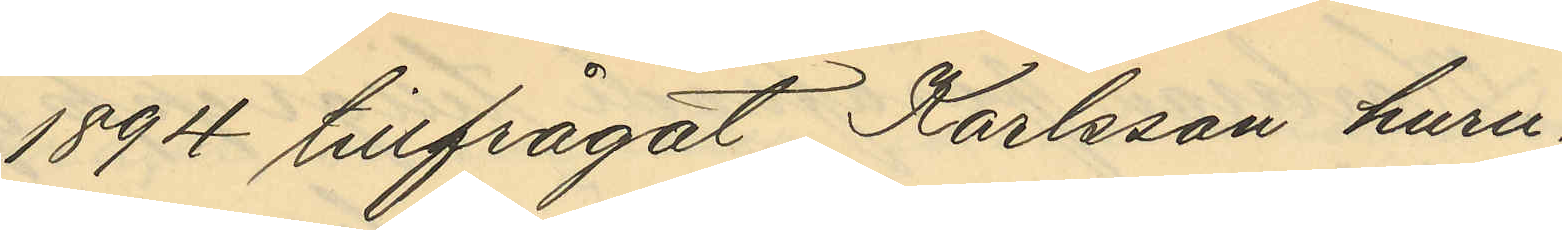1894 tillfrågat Karlsson huru¬
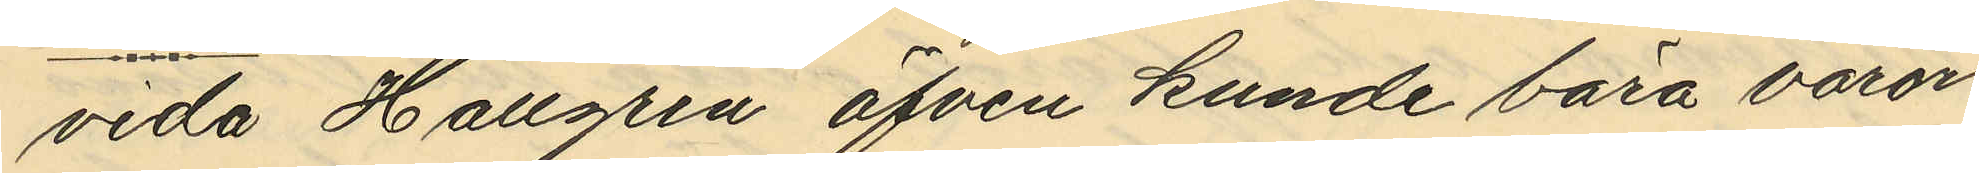vida Hallgren äfven kunde bära varor
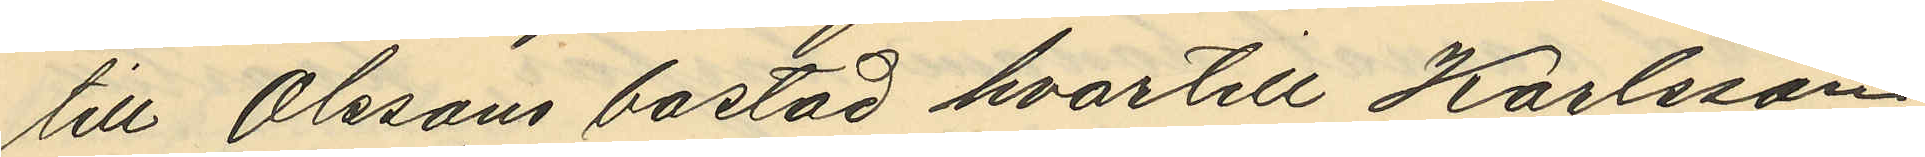till Olssons bostad hvartill Karlsson
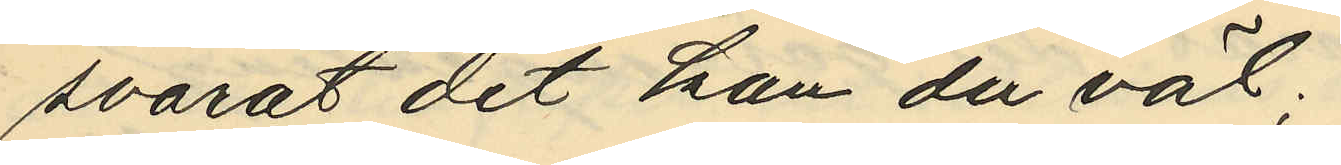svarat "det kan du väl";
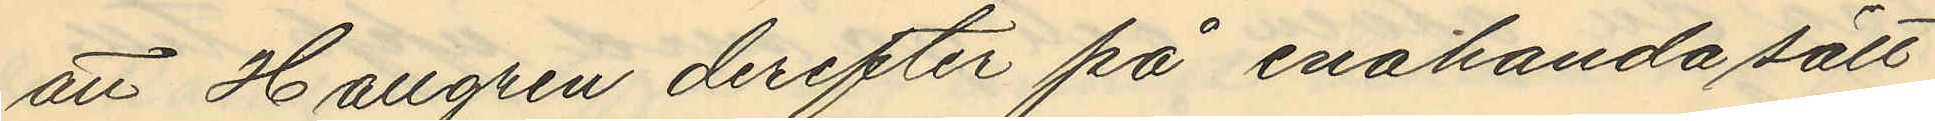att Hallgren derefter på enahanda sätt
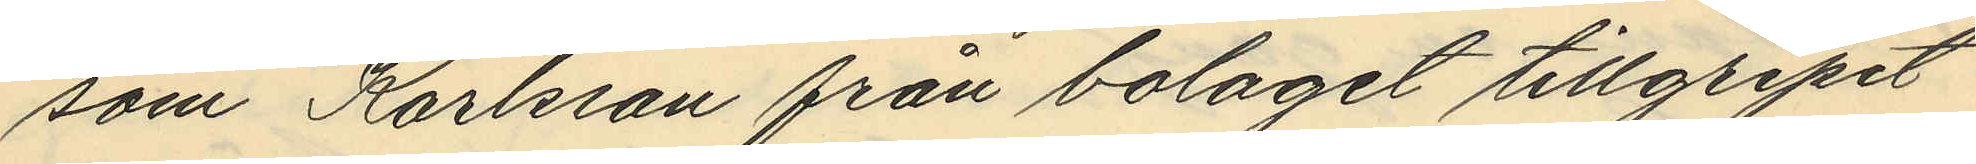som Karlsson från bolaget tillgripit
